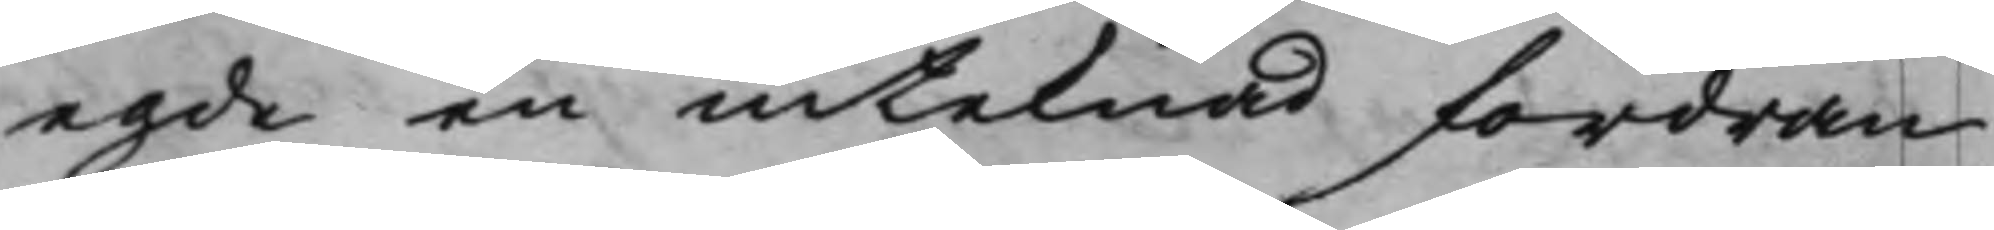egde en inteknad fordran
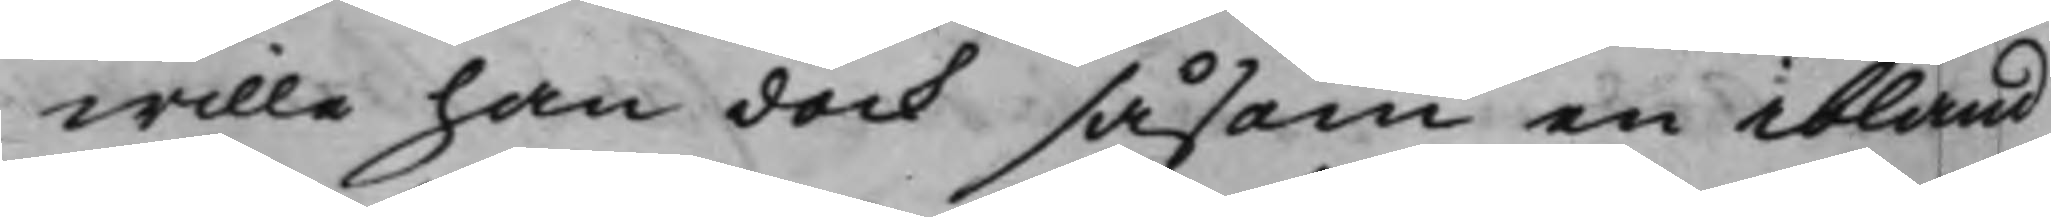wille han dock såsom en ibland
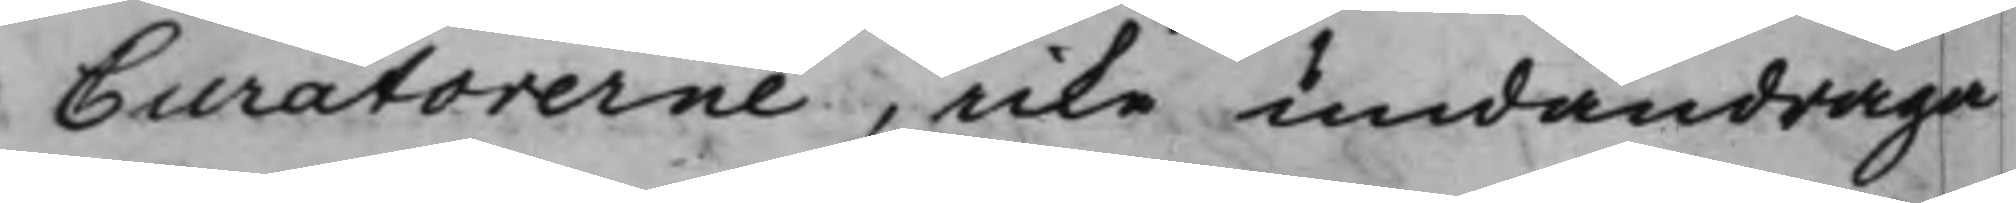Curatorerne, icke undandraga
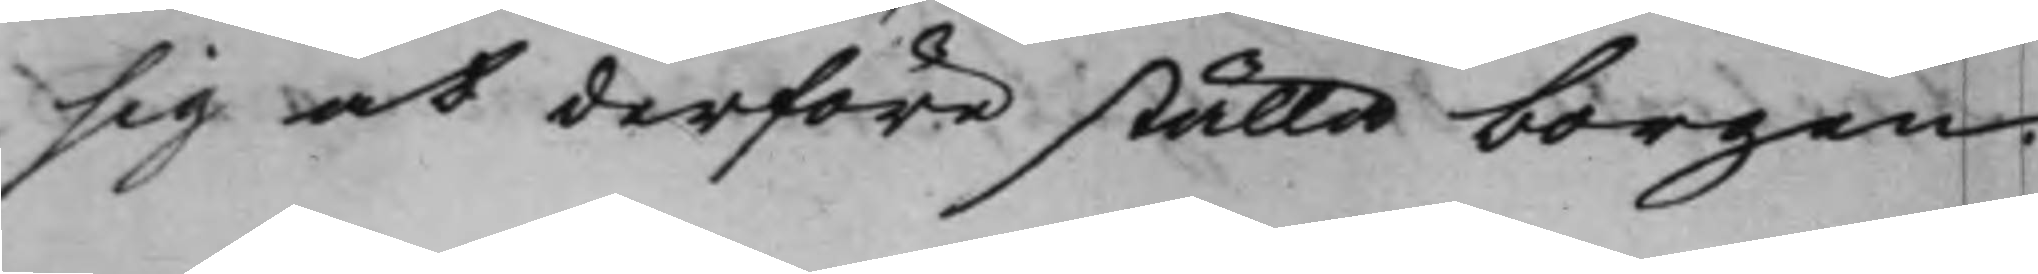sig at derföre ställa borgen
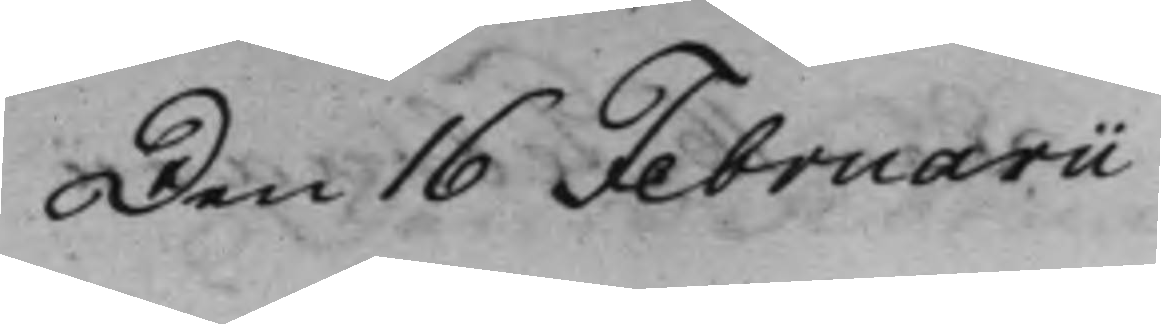Den 16 Februarii
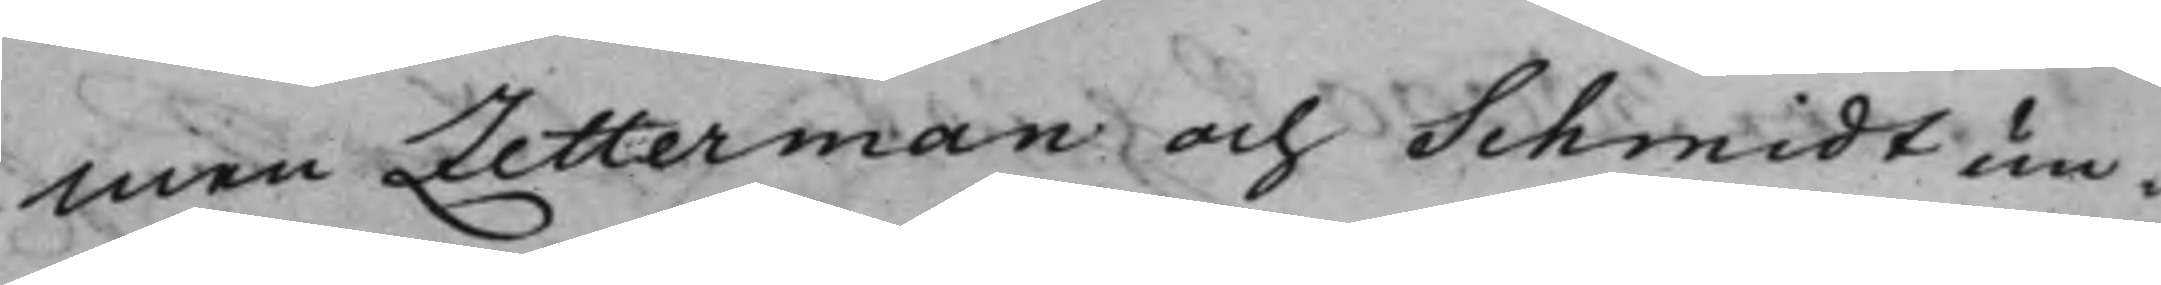men Zetterman och Schmidt un¬
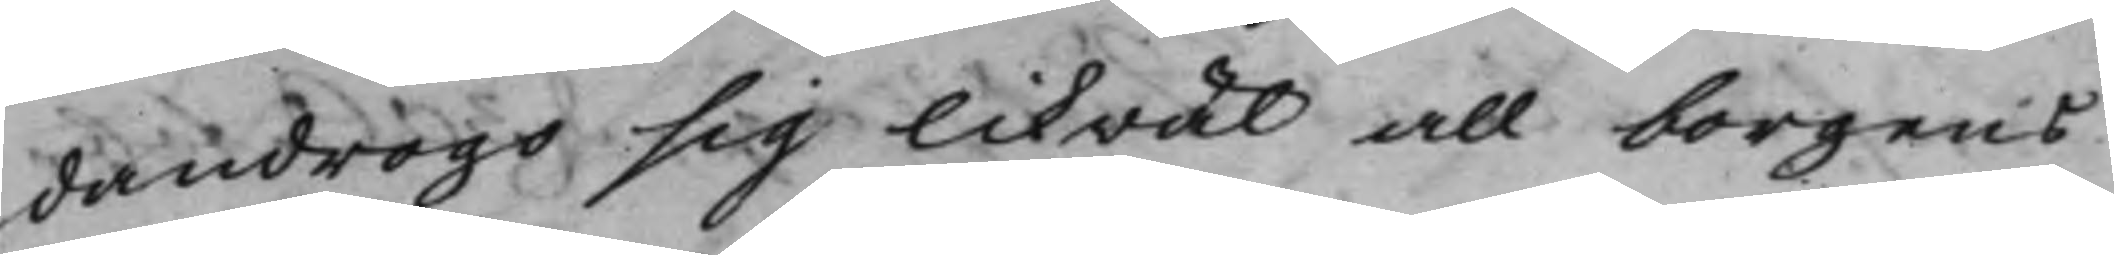dandrogo sig likwäl all borgens
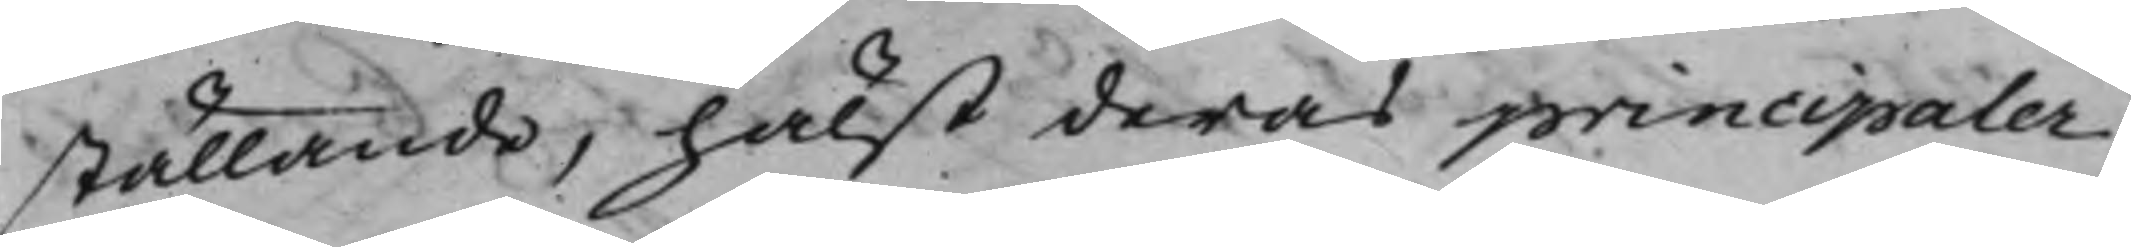ställande, hälst deras principaler
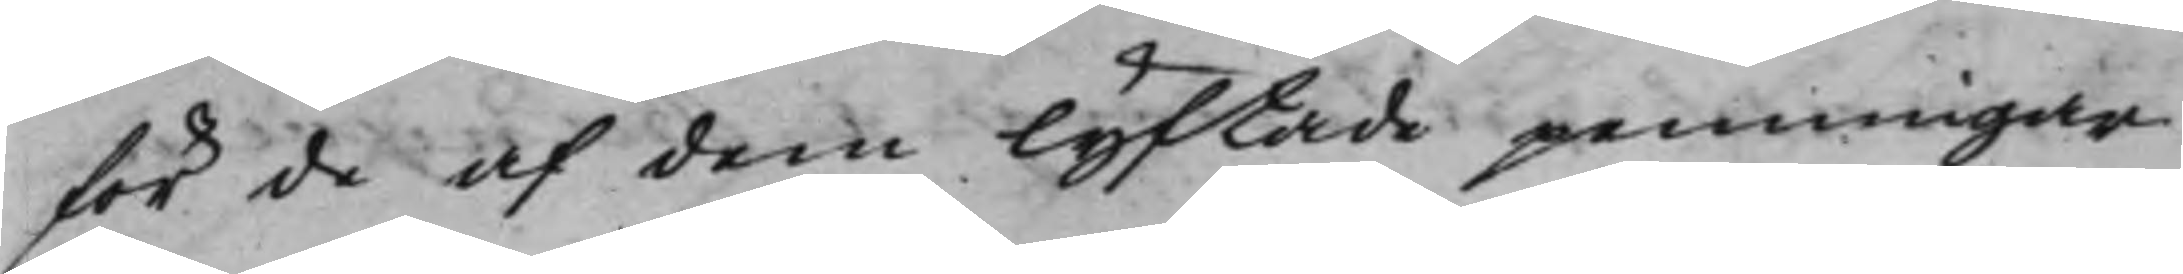för de af dem lyftade penningar
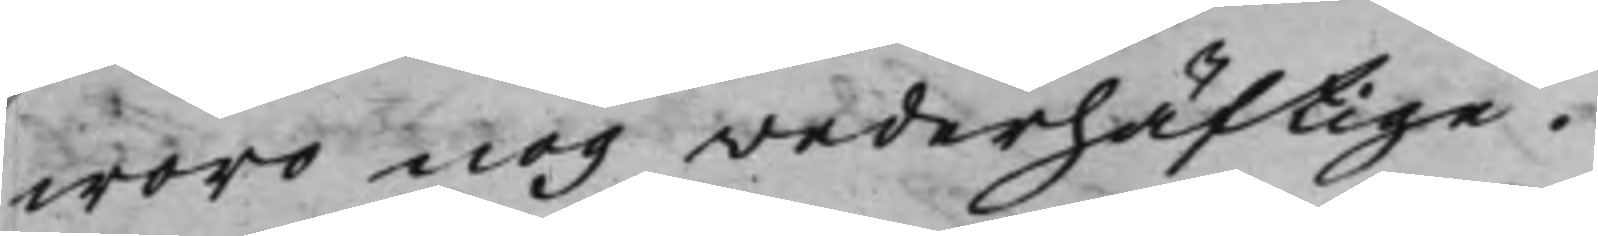woro nog wederhäftige.
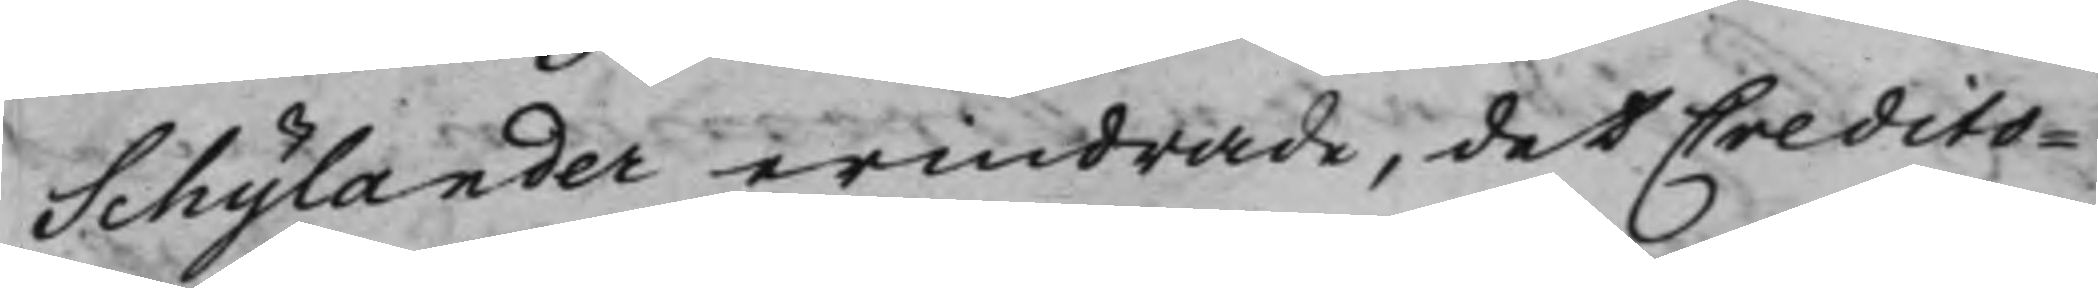Schylander erindrade, det Credito¬
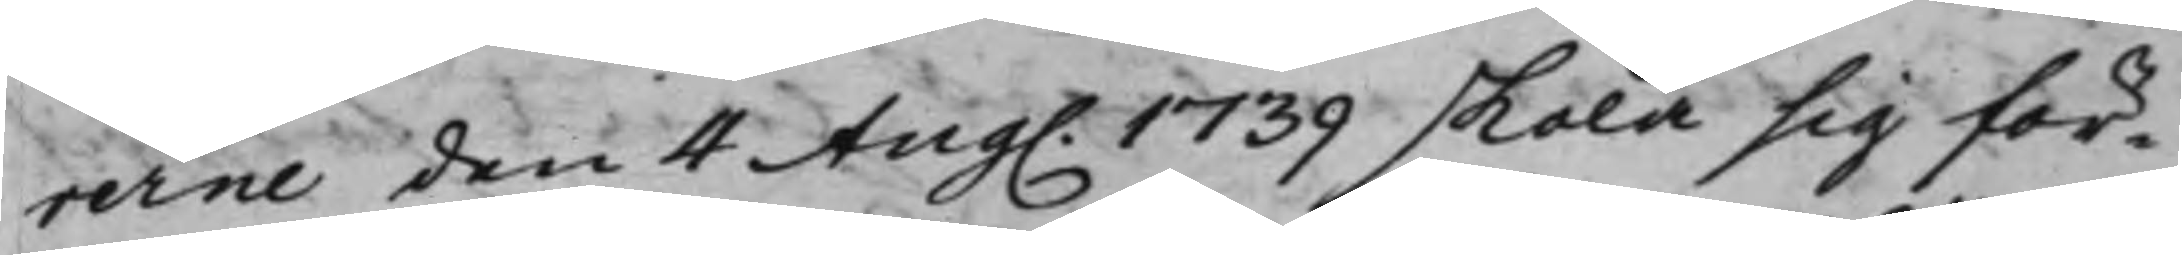rerne den 4 Aug. 1739 skola sig för¬
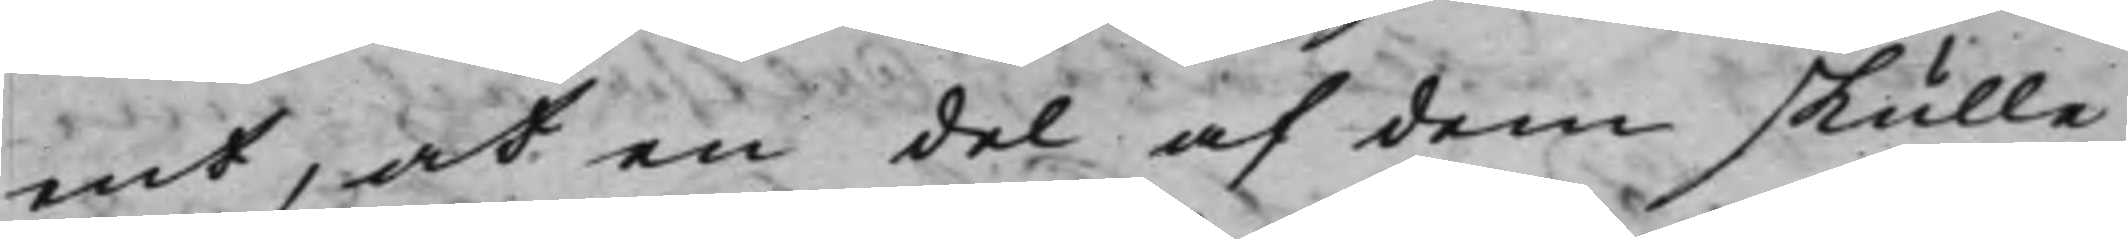ent, at en del af dem skulle
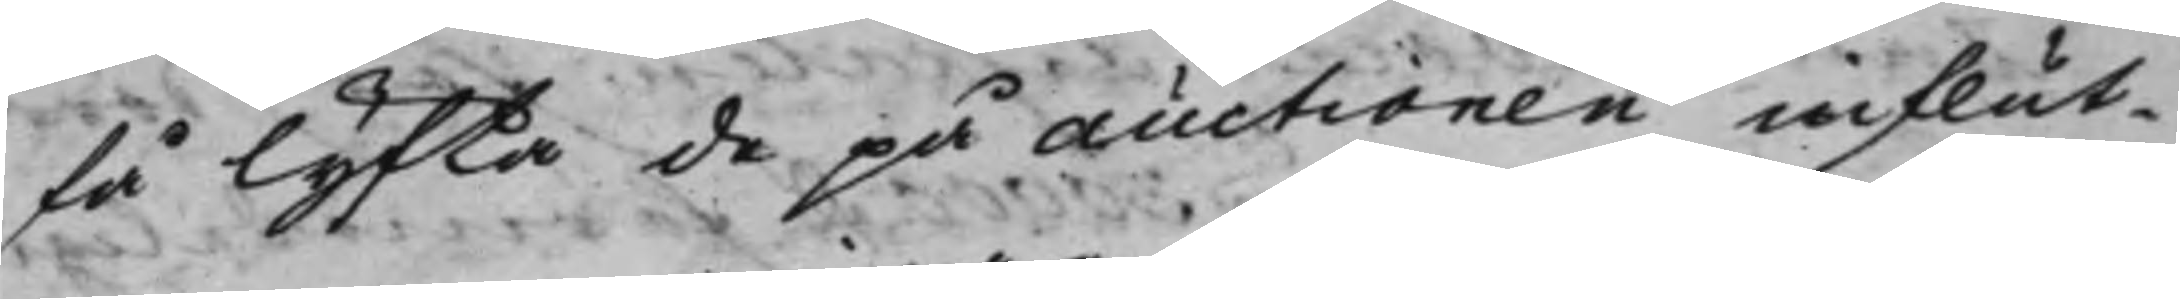få lyfta de på auctionen influt¬
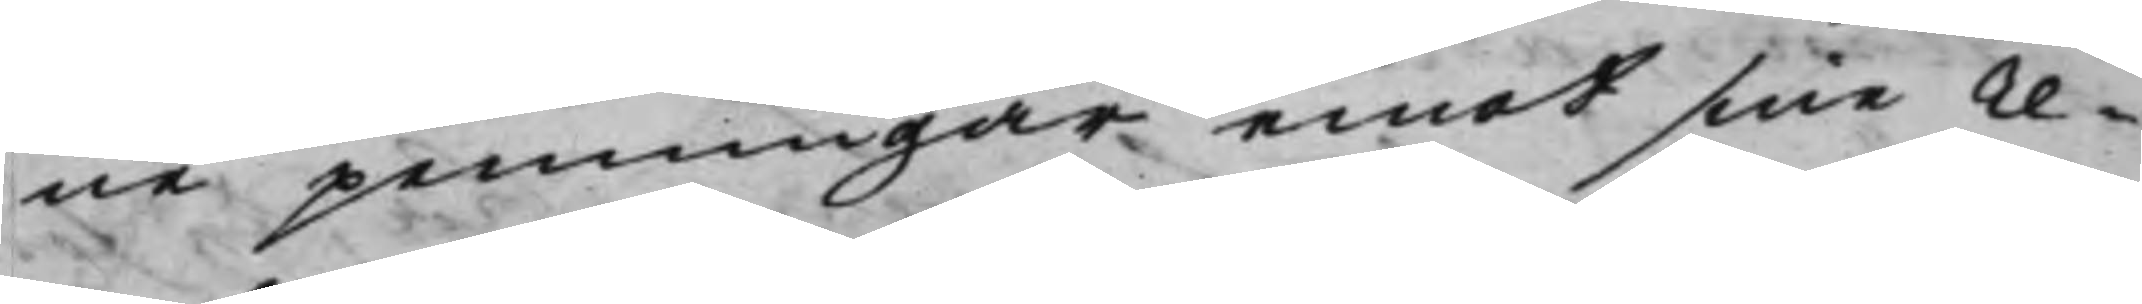ne penningar emot sine re¬
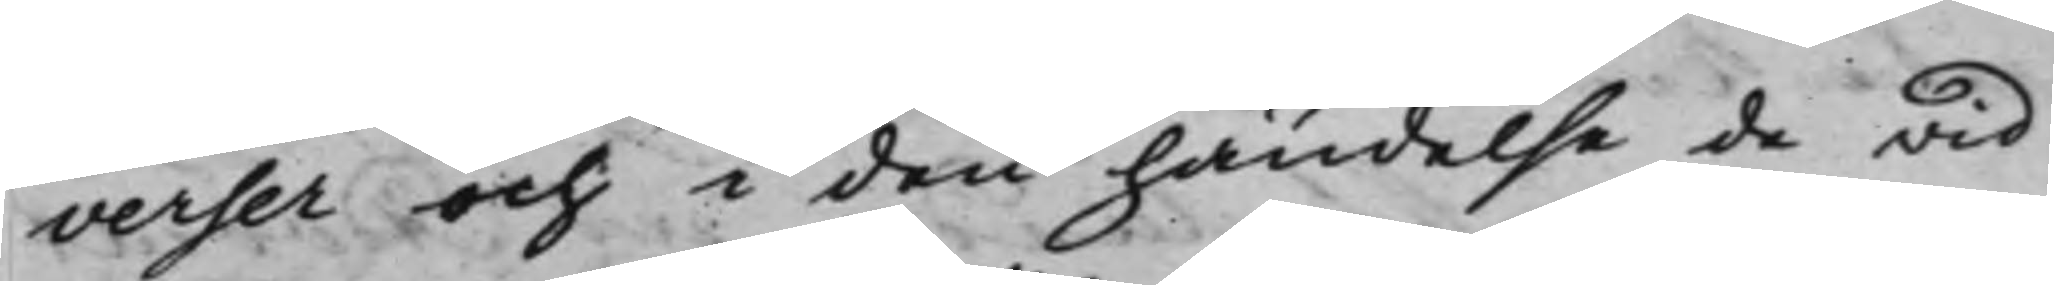verser och i den händelse de wid
